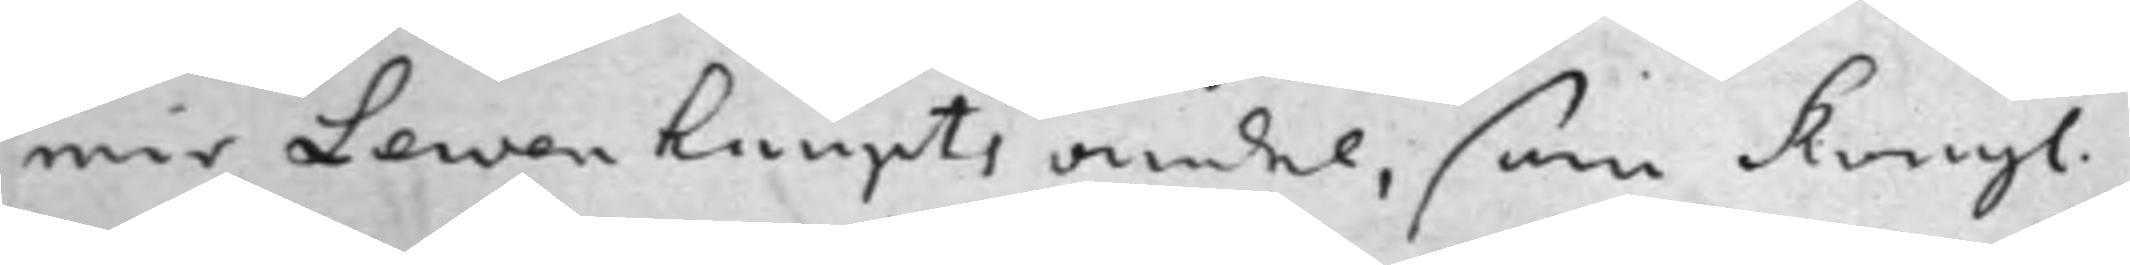mir Lewenhaupts andel, som Kongl.
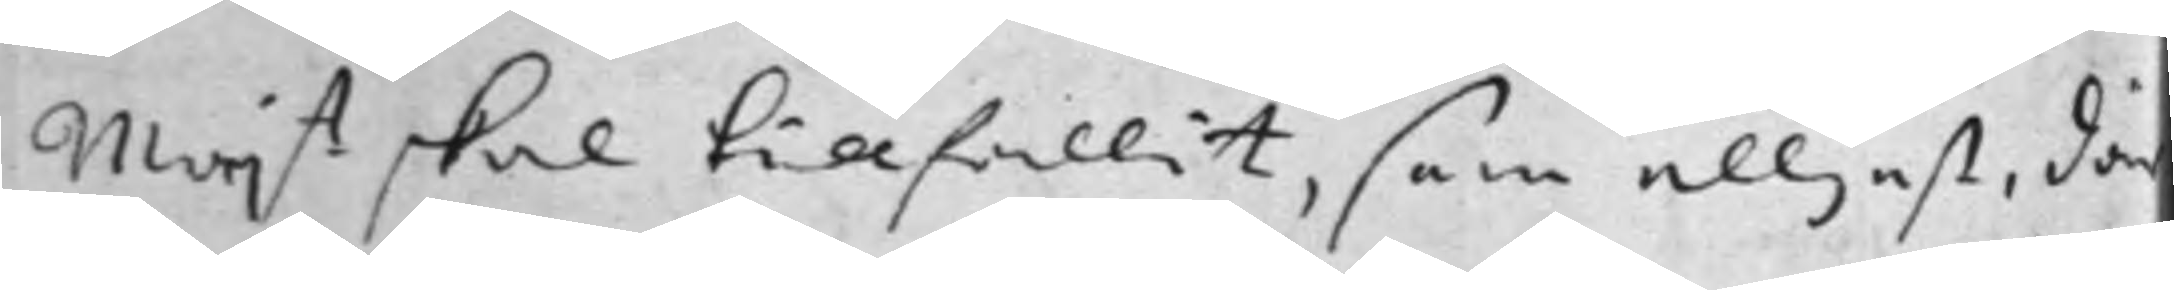Maj.t skal tillfallit, som elljest, där
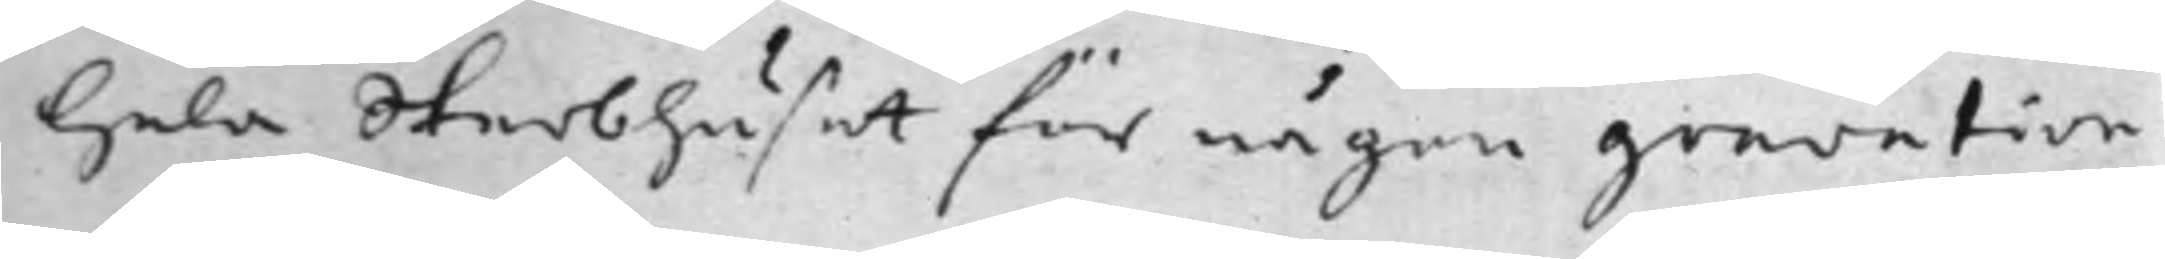hela Sterbhuset för någon gravation
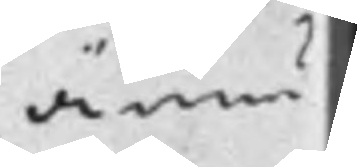ännu
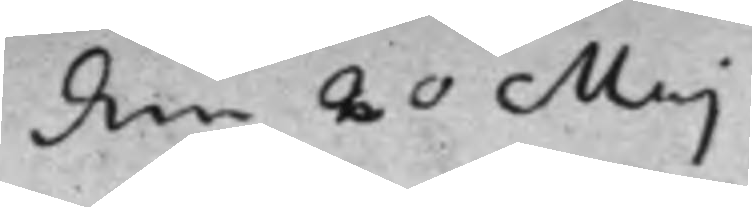den 20 Maj
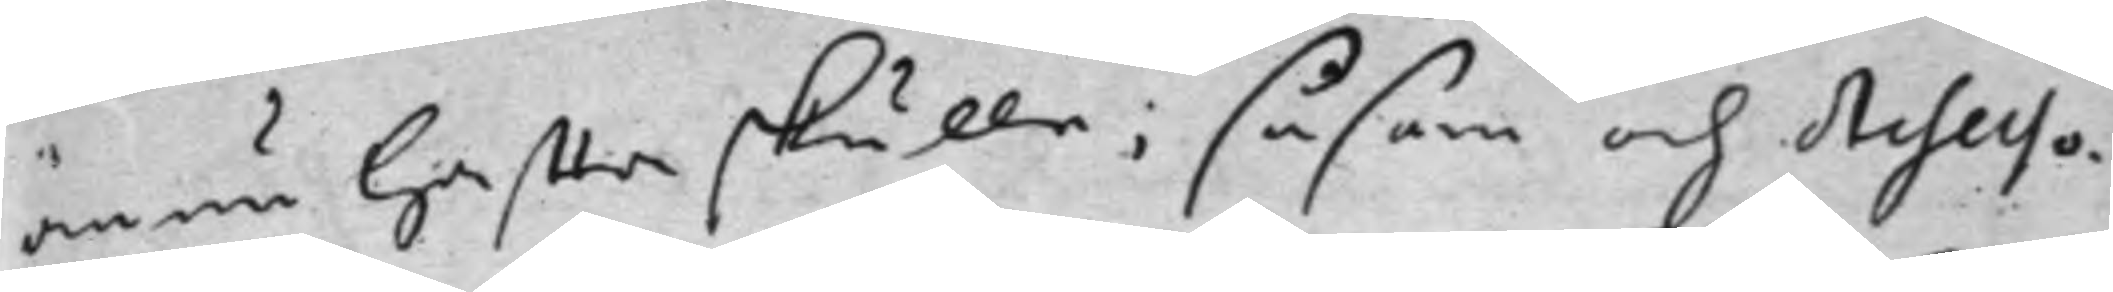ännu heffta skulle; såsom och Assesso¬
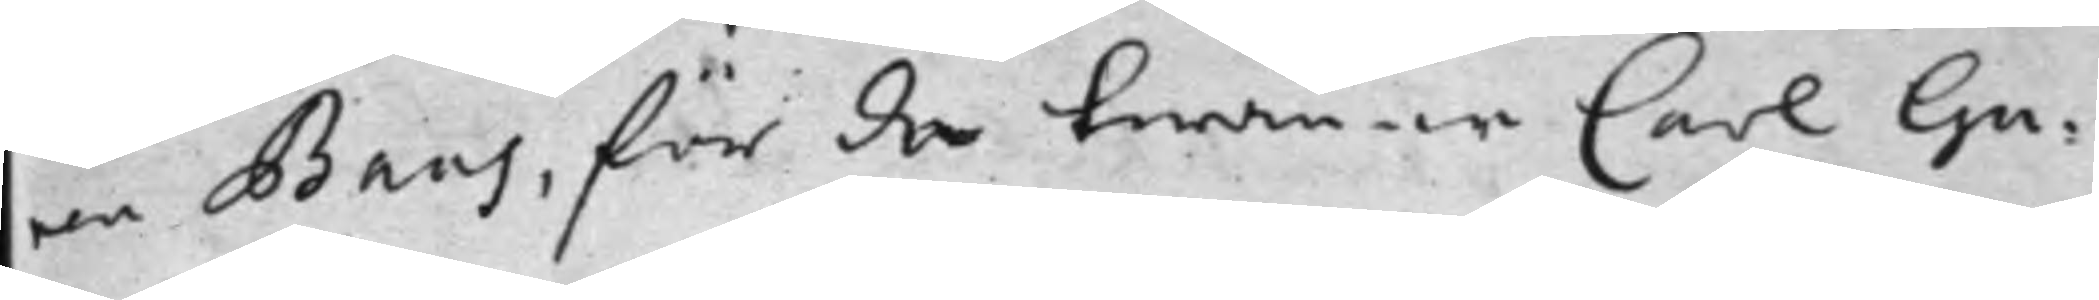ren Baas, för de twänne Carl Gu¬
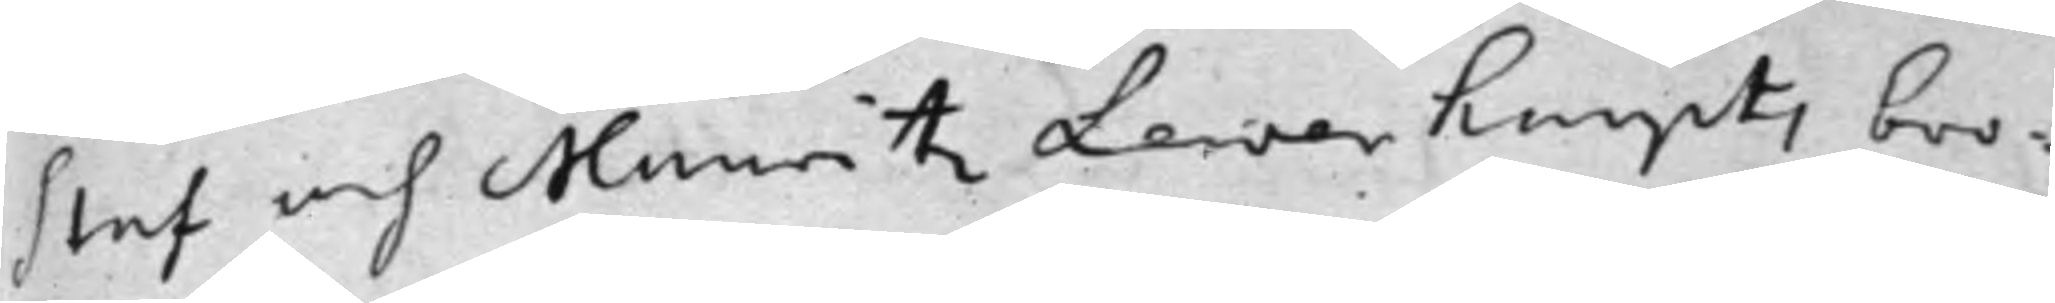staf och Mauritz Lewenhaupts bro¬
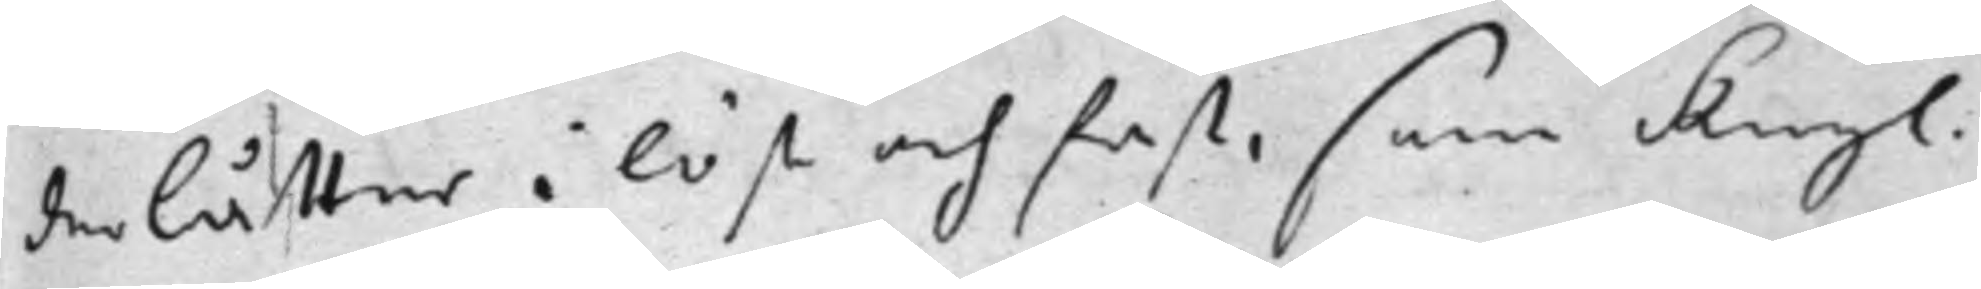derlåtter i löst och fast, som Kongl.
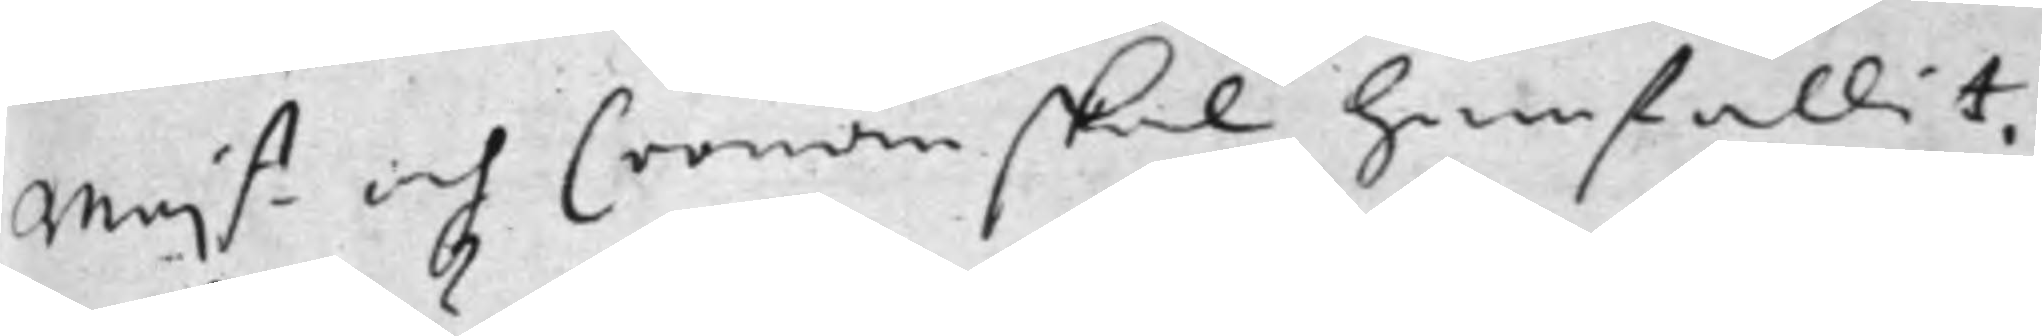Maj.tt och Cronan skal hemfallit,
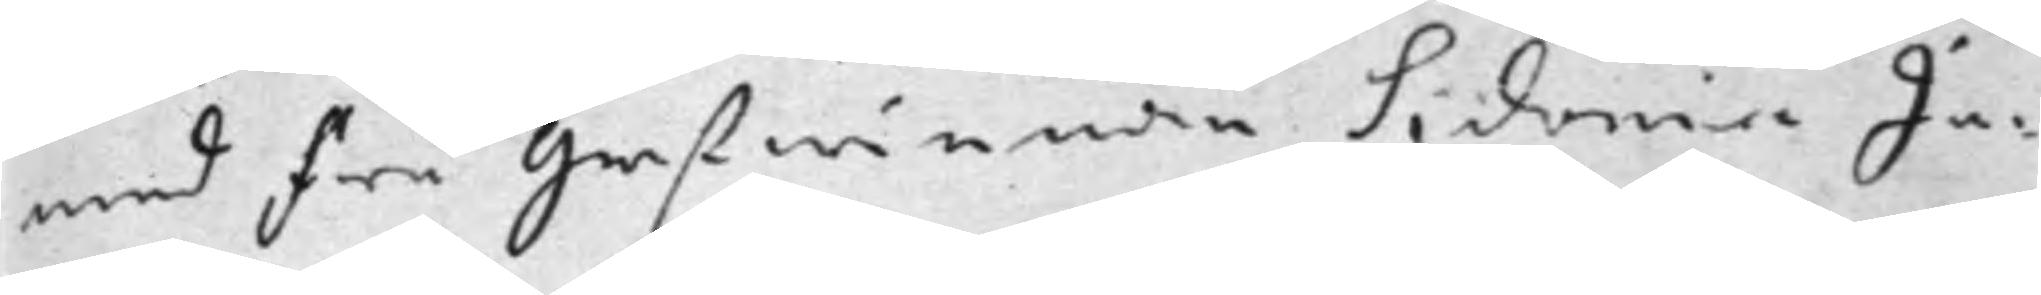med Fu Grefwinnan Sidonia Ju¬
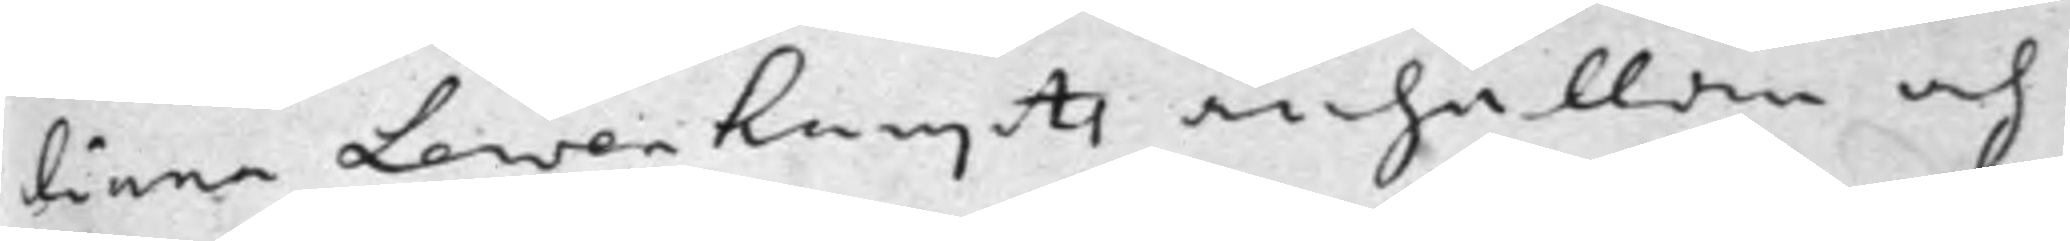liana Lewenhauptz anhållan och
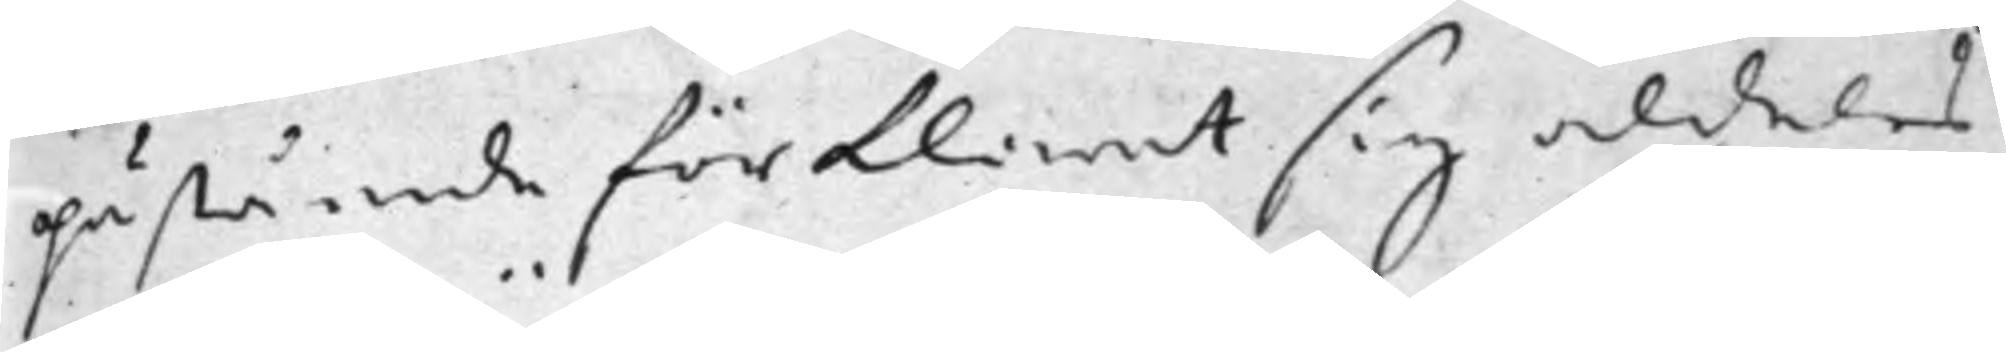påstående förklarat sig aldeles
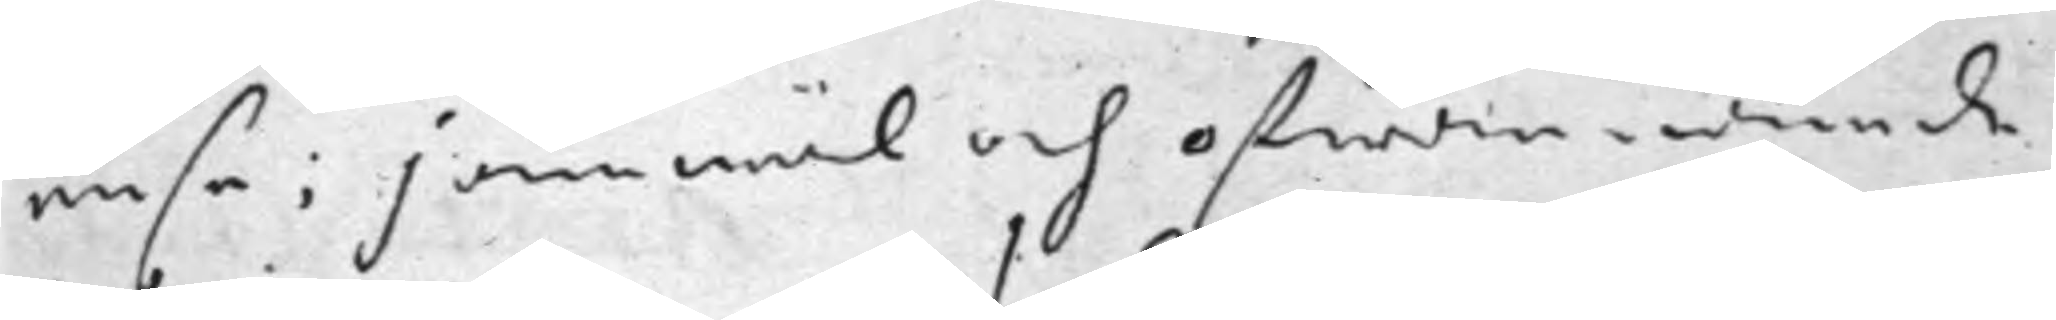ense: jämwäl och ofwannämde
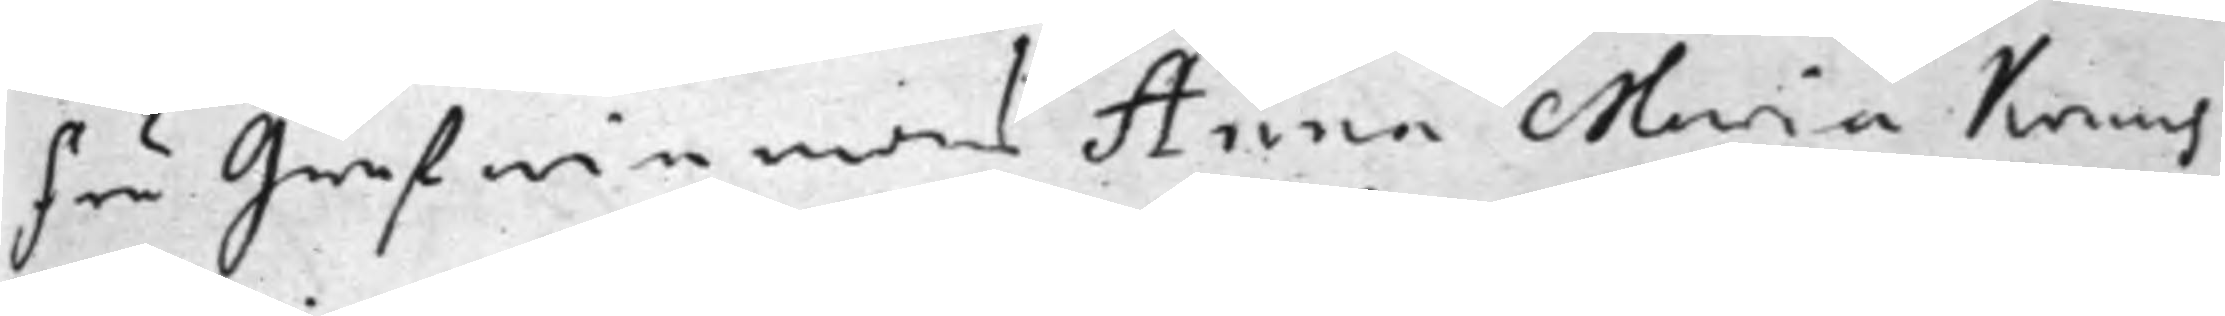Fru Grefwinnans Anna Maria Kruus
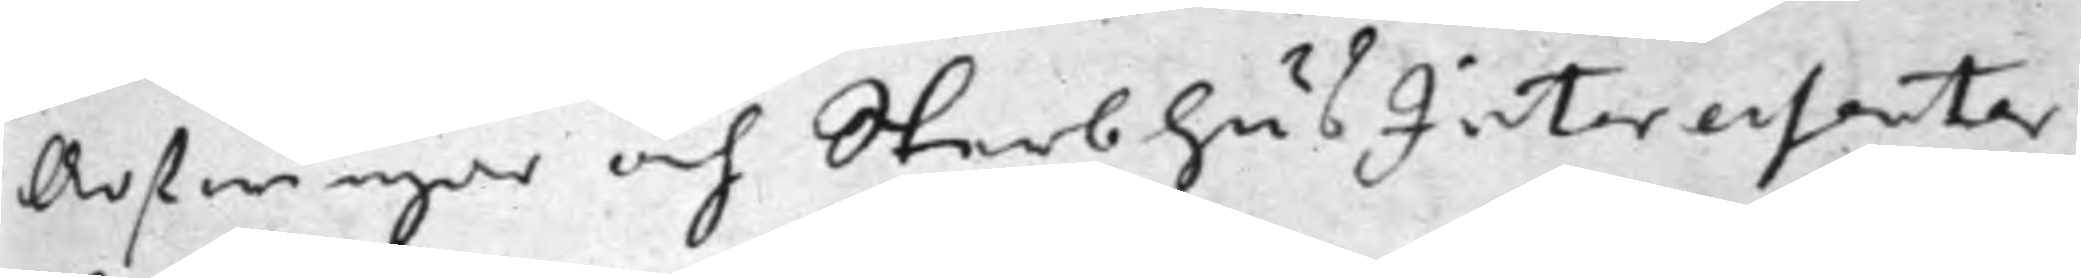Arfwingar och SterbhusInteressenter
